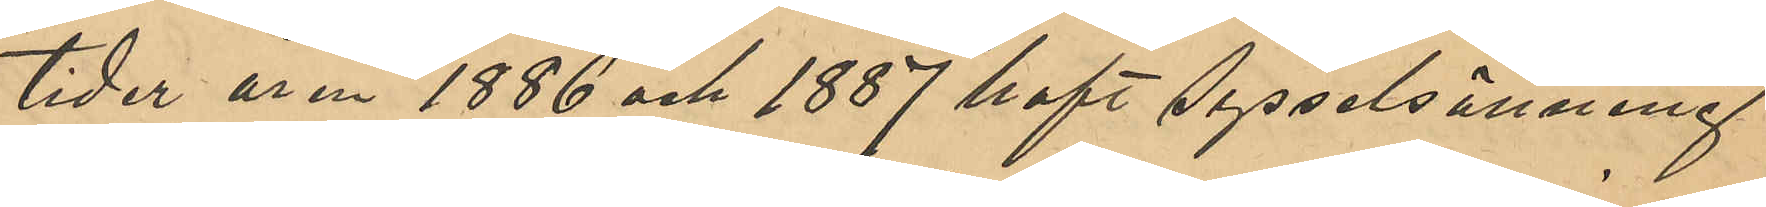tider 1886 och 1887 haft sysselsättning
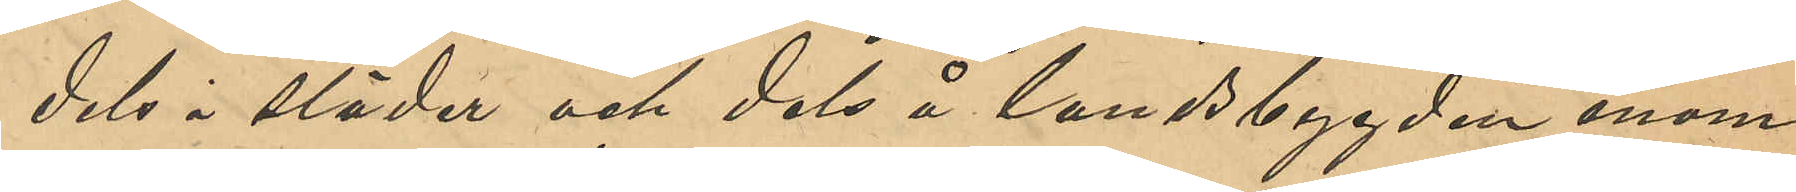dels i städer och dels å landsbygden inom
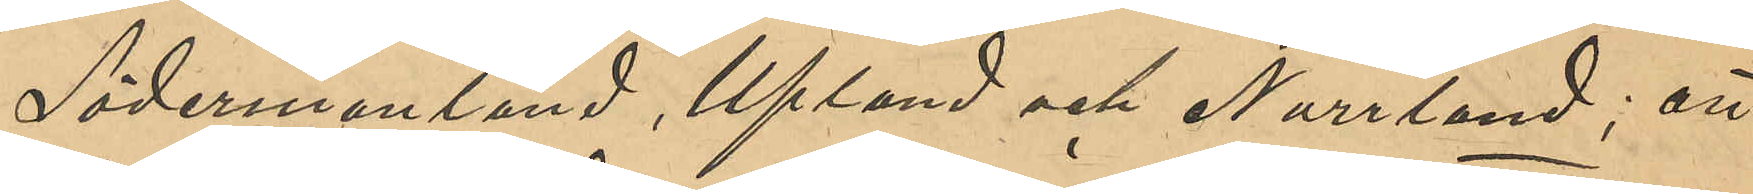Södermanland, Upland och Norrland; att
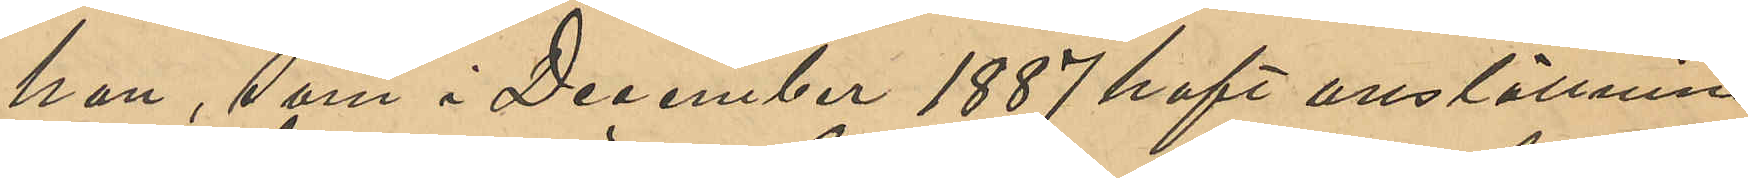han, som i December 1887 haft anställning
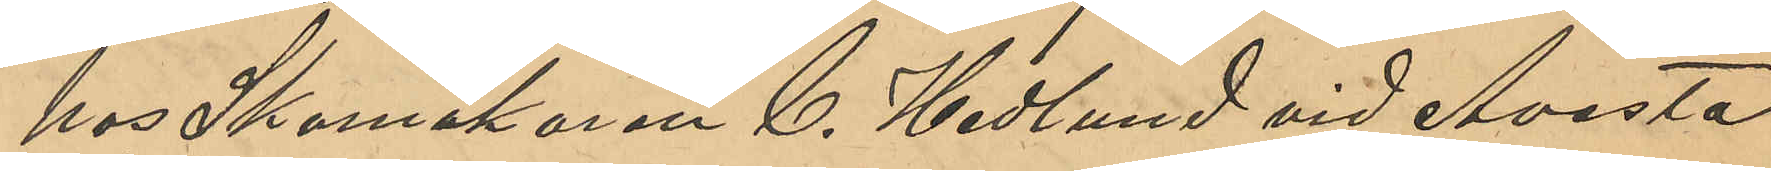hos Skomakaren C. Hedlund vid Avesta
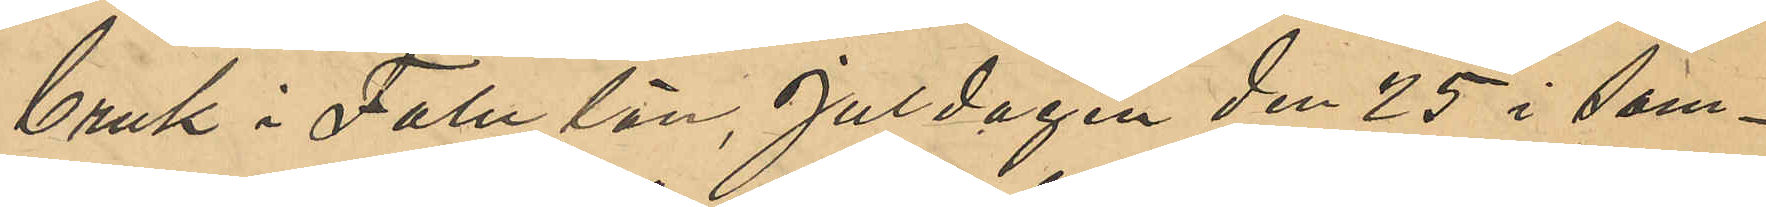bruk i Falu län, Juldagen den 25 i sam¬
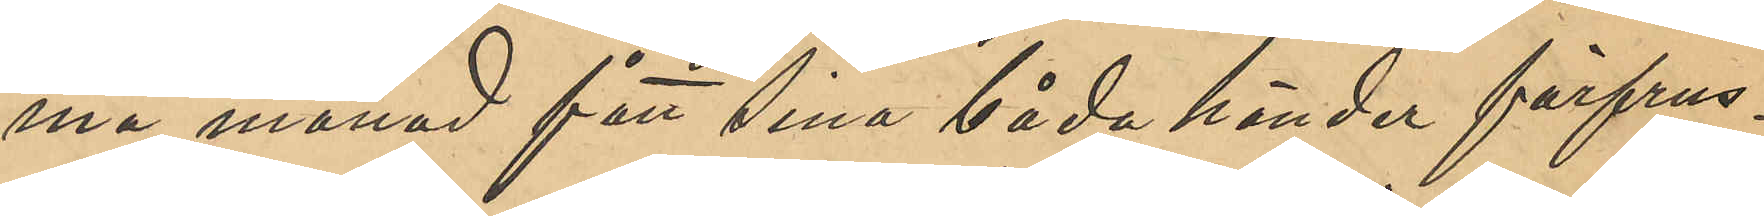ma månad fått sina båda händer förfrus¬
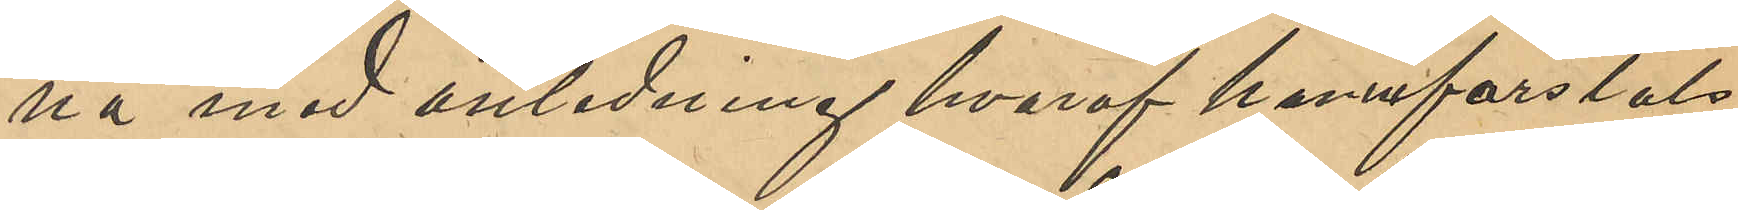na med anledning hvaraf han inforslats
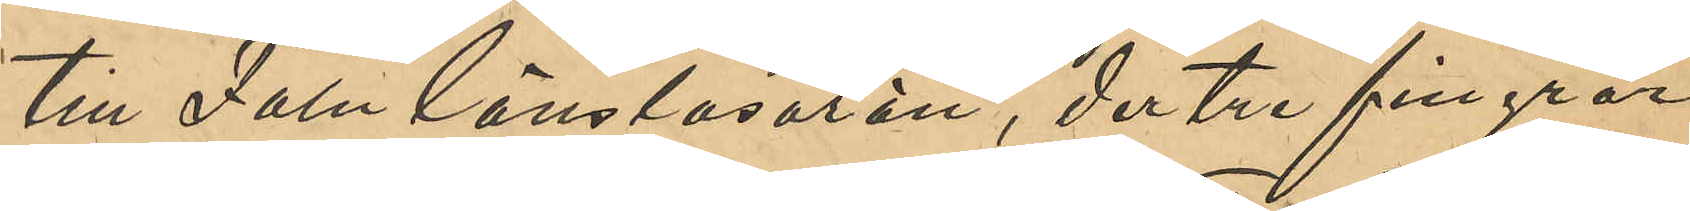till Falu länslasarett, der tre fingrar
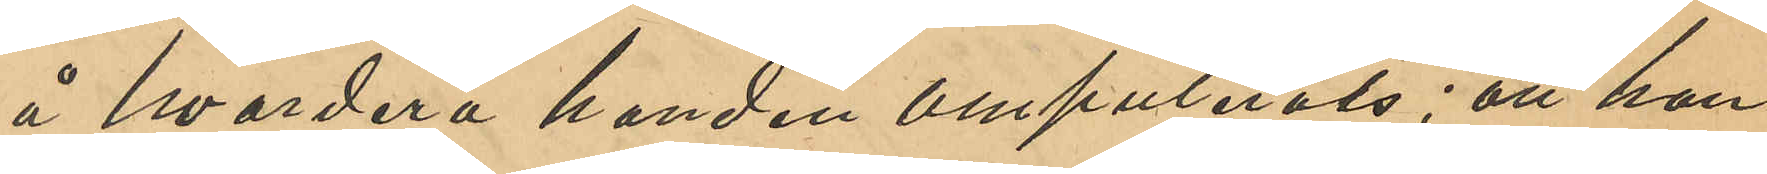å hvardera handen amputerats; att han
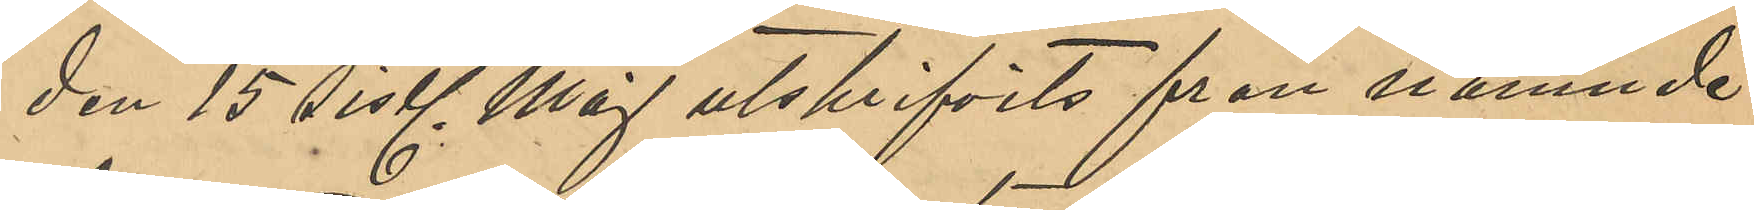den 15 sistl Maj utskrifvits från nämnde
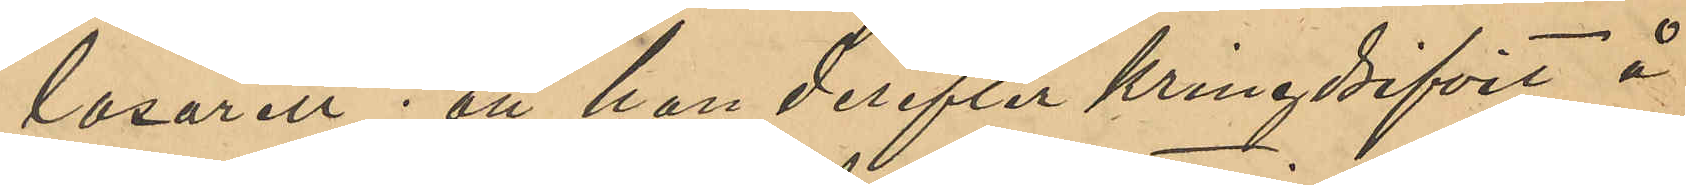lasarett; att han derefter kringdrifvit å
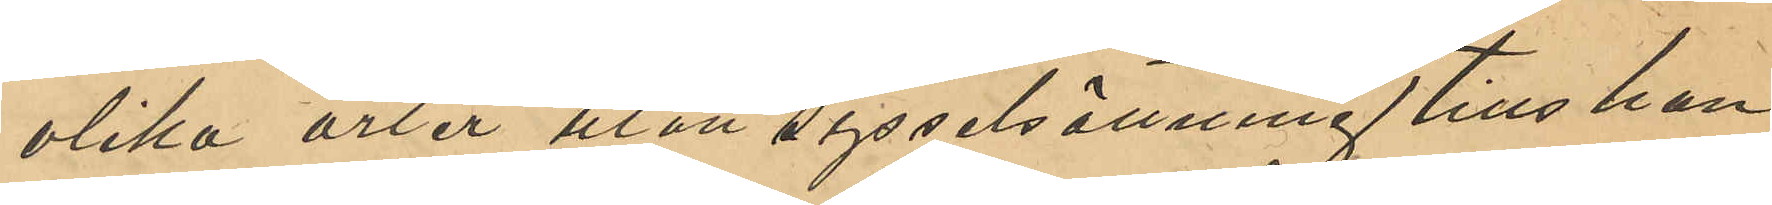olika orter utan sysselsättning tills han
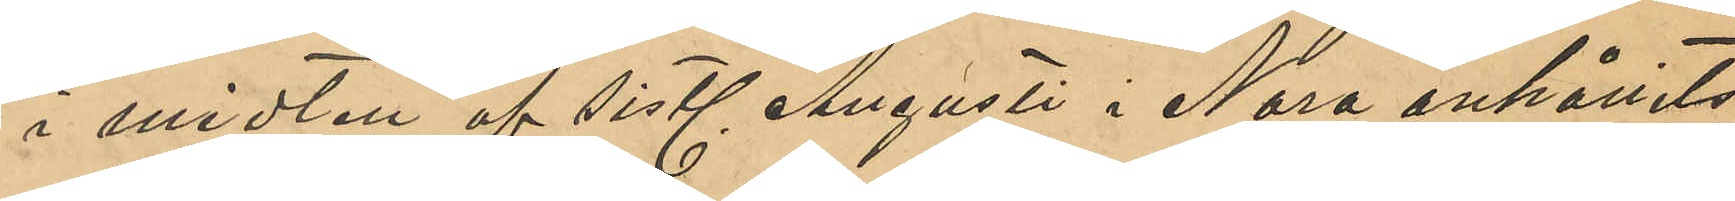i midten af sistl Augusti i Nora anhållits
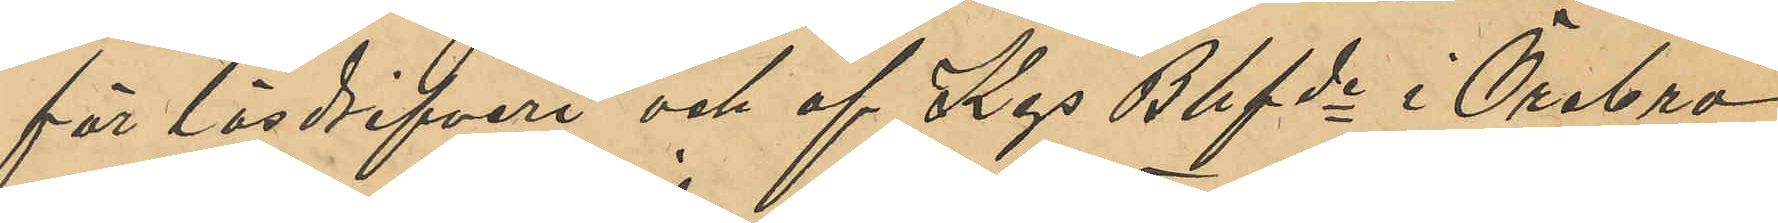för lösdrifveri och af Kgs Bhfde i Örebro
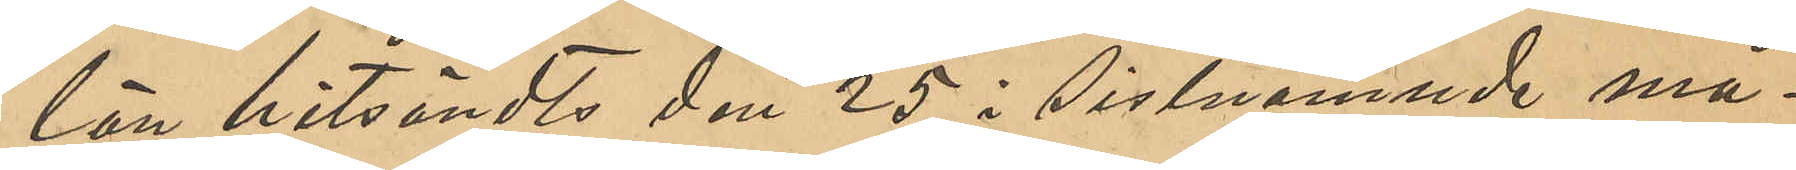län hitsändts den 25 i sistnämnde må¬
